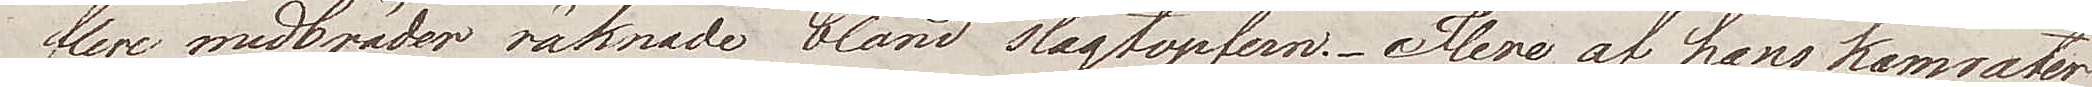flere medbröder räknade bland slagtopfern. Flere af hans kamrater
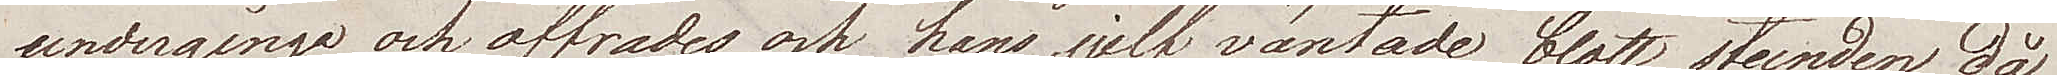undergingo och offrades och hans sjelf väntade blott stunden då
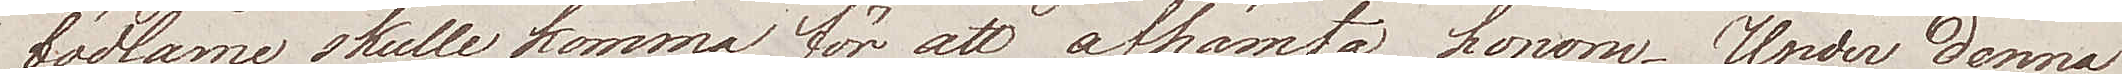Bödlarne skulle komma för att afhämta honom. Under denna
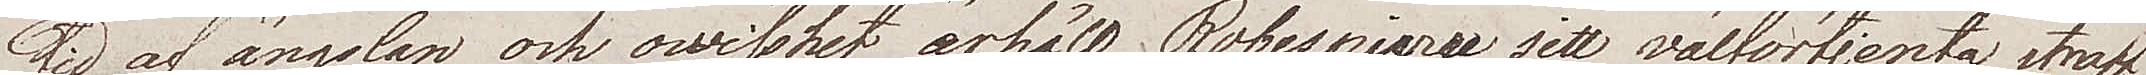tid af ängslan och owisshet, ärhöll Robespierre sitt välförtjenta straff
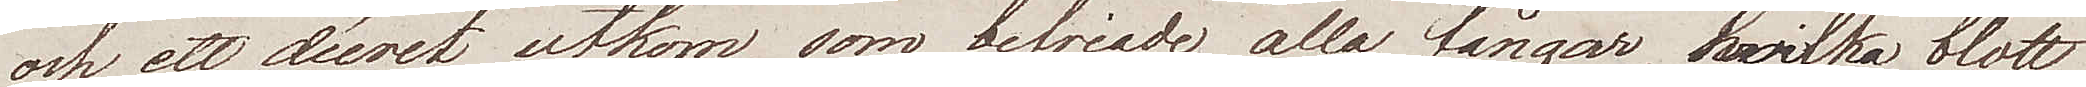och ett decret utkom, som befriade alla fångar, hwilka blott
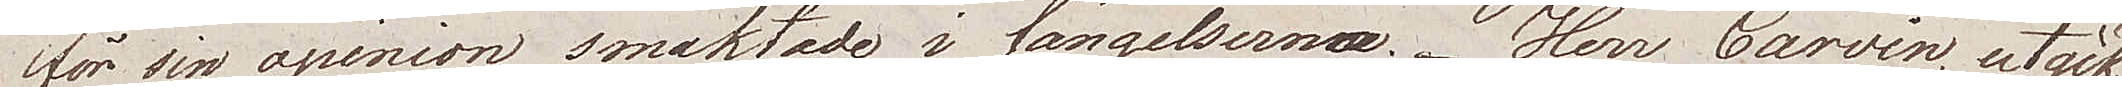för sin opinion smaktade i fängelserna. Herr Carvin, utgick
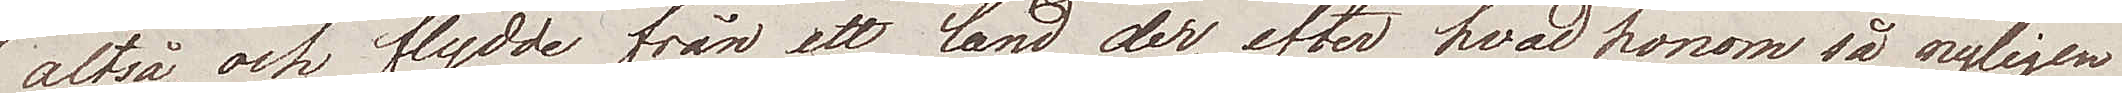altså, och flydde från ett land der, efter hvad honom så nyligen
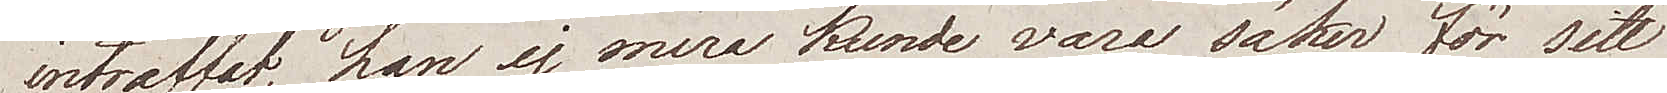inträffat, han ej mera kunde vara säker för sitt
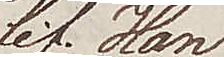lif. Han
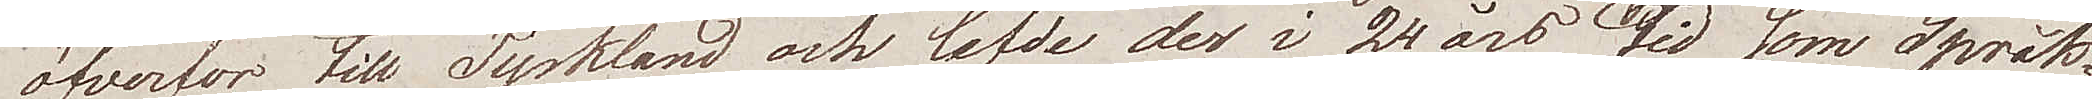överfor till Tyskland och lefde der i 24 års tid som Språk¬
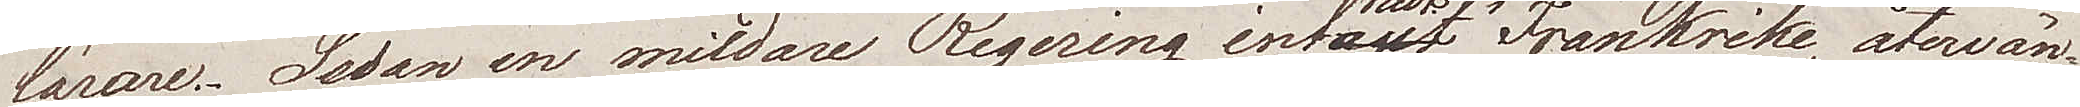lärare. Sedan en mildare Regering inträdt i Frankrike, återvän¬
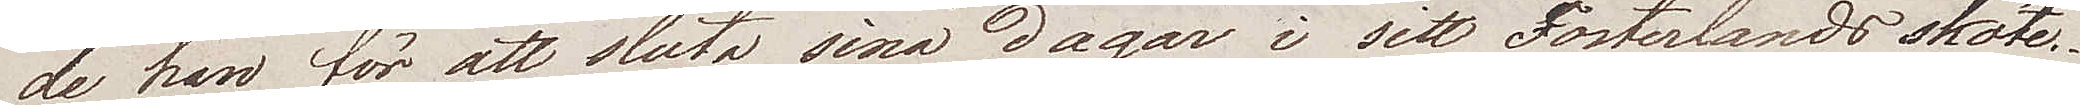de han för att sluta sina dagar i sitt Fosterlands sköte.
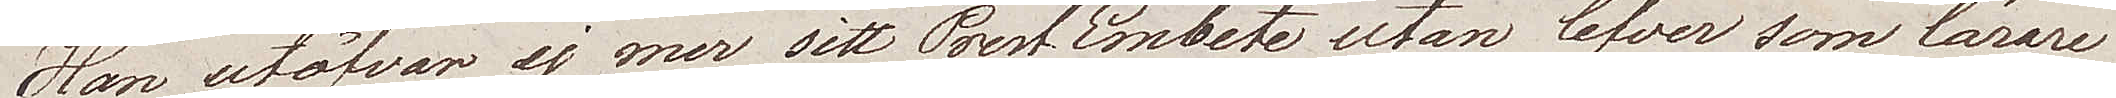Han utöfvar ej mer sitt Prest Embete utan lefver som lärare
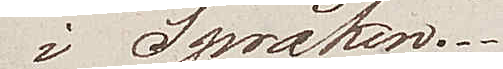i Språken.
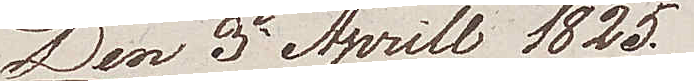Den 3e Aprill 1825.
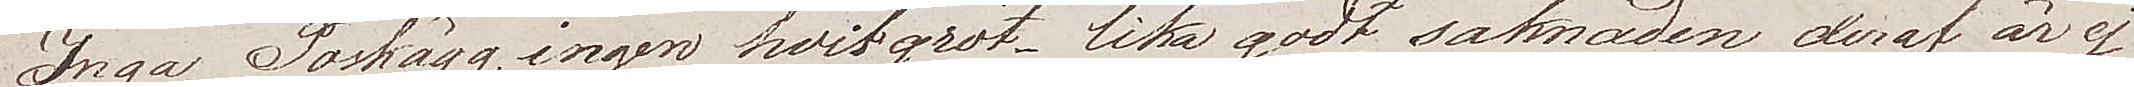Inga Poskägg, ingen hvitgröt, lika godt, saknaden deraf är ej
